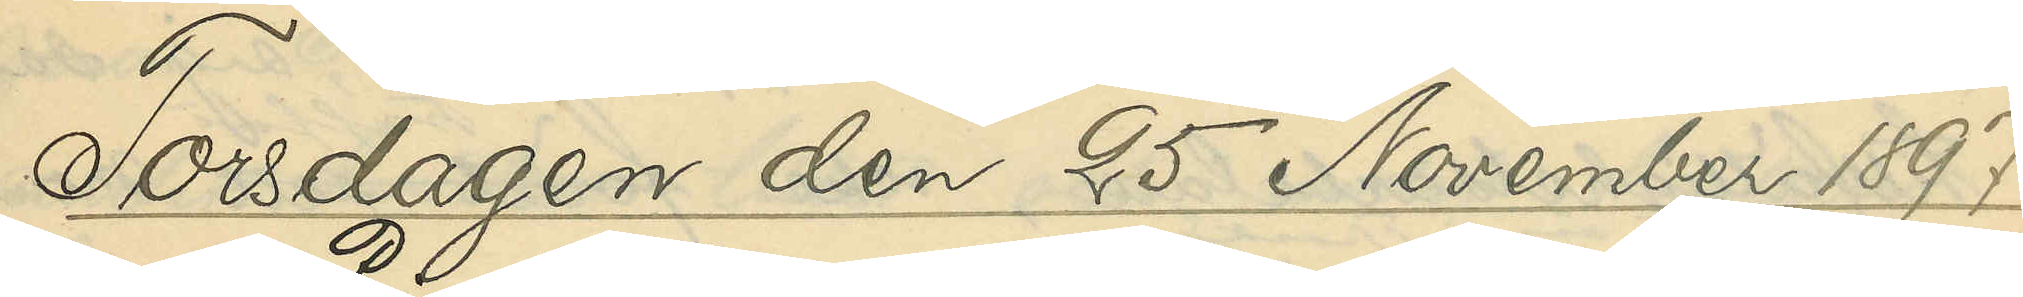Torsdagen den 25 November 1897.
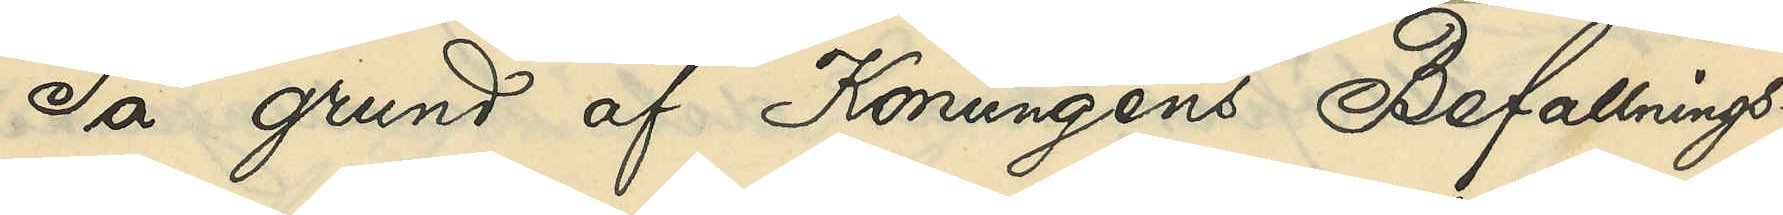På grund af Konungens Befallnings¬
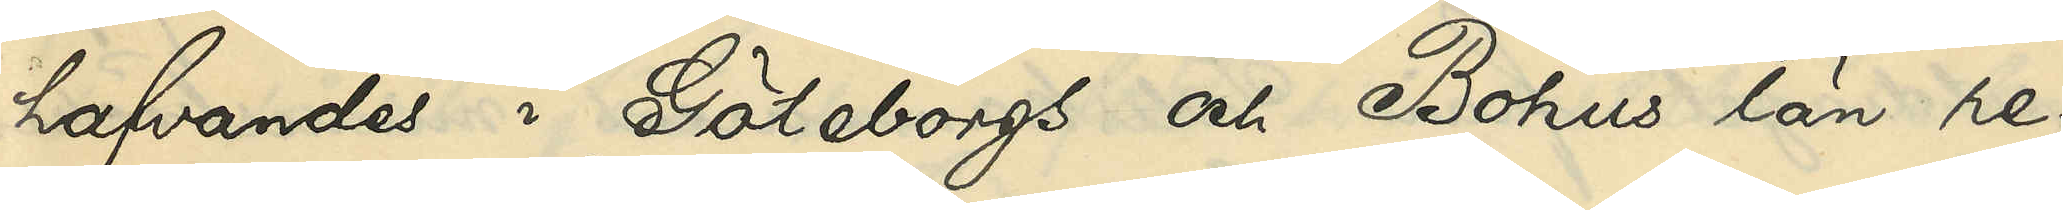hafvandes i Göteborgs och Bohus län re¬
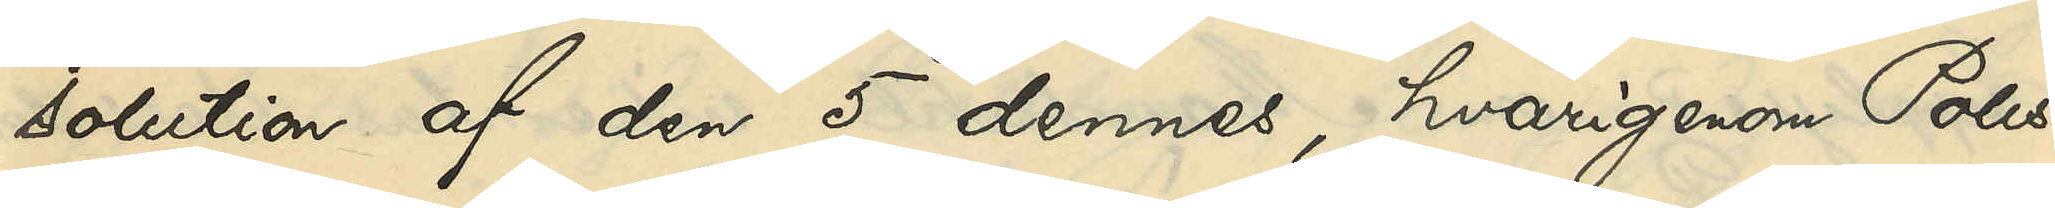solution af den 5 dennes, hvarigenom Polis¬
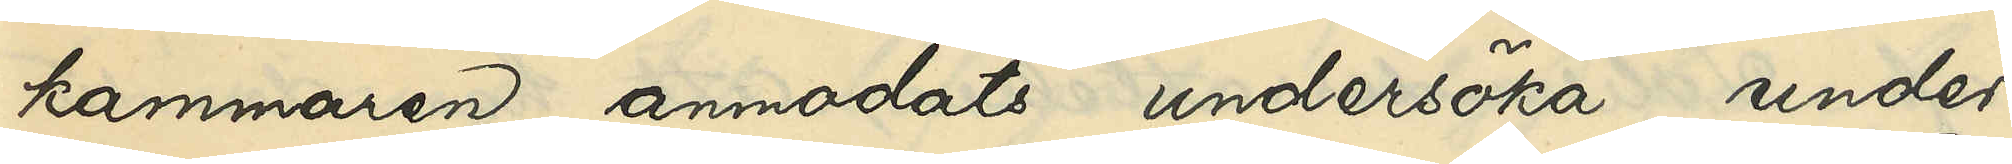kammaren anmodats undersöka, under
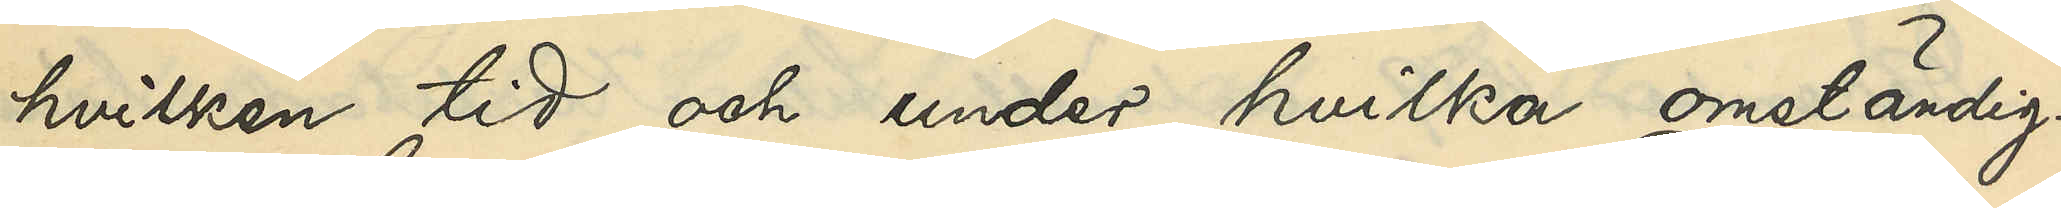hvilken tid och under hvilka omständig¬
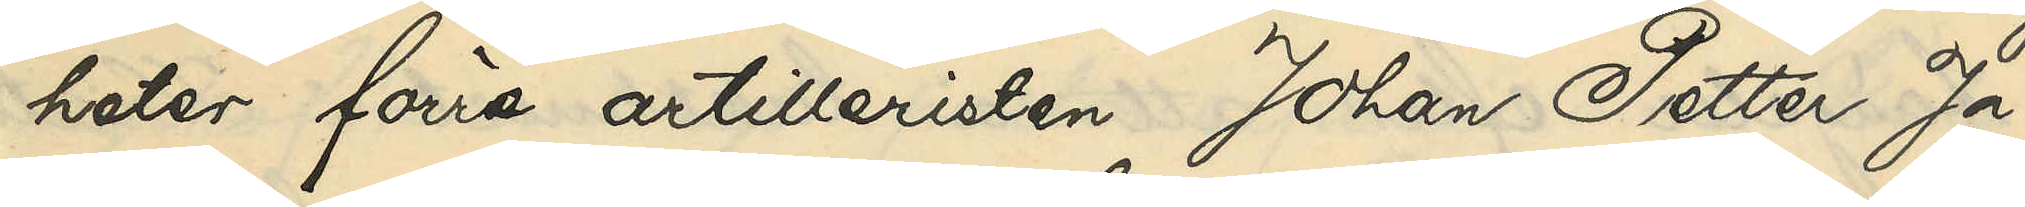heter förre artilleristen Johan Petter Ja¬
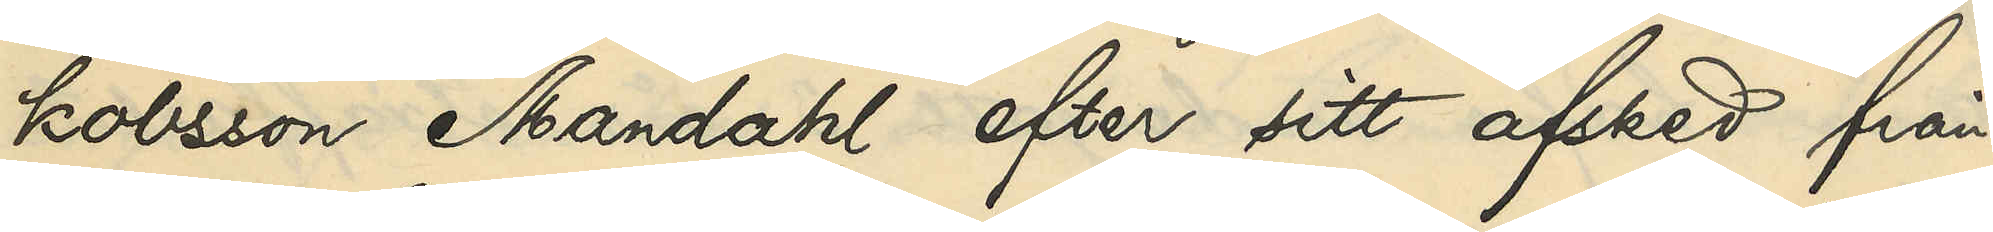kobsson Mandahl efter sitt afsked från
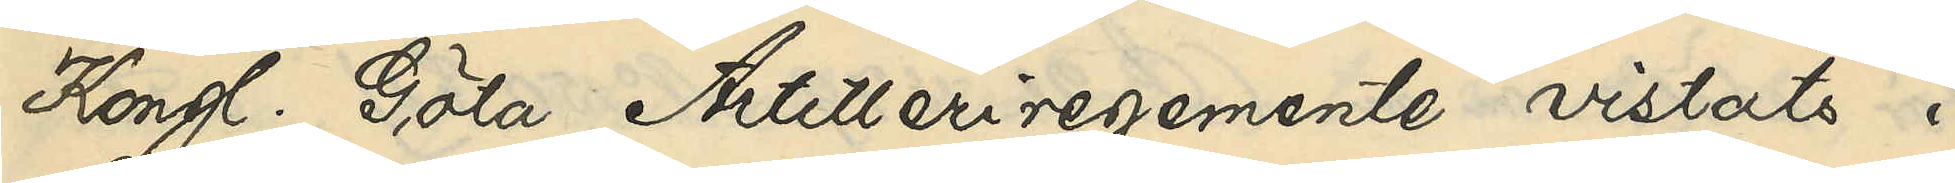Kongl. Göta Artilleriregemente vistats i
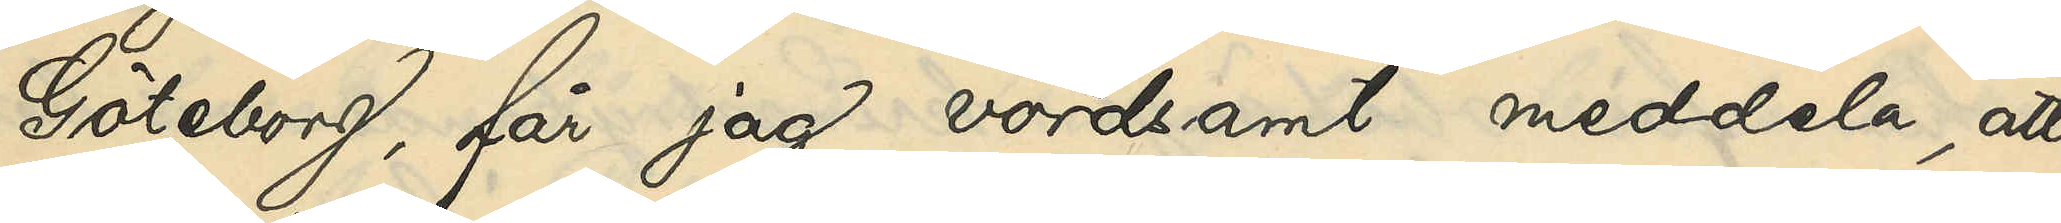Göteborg, får jag vördsamt meddela, att
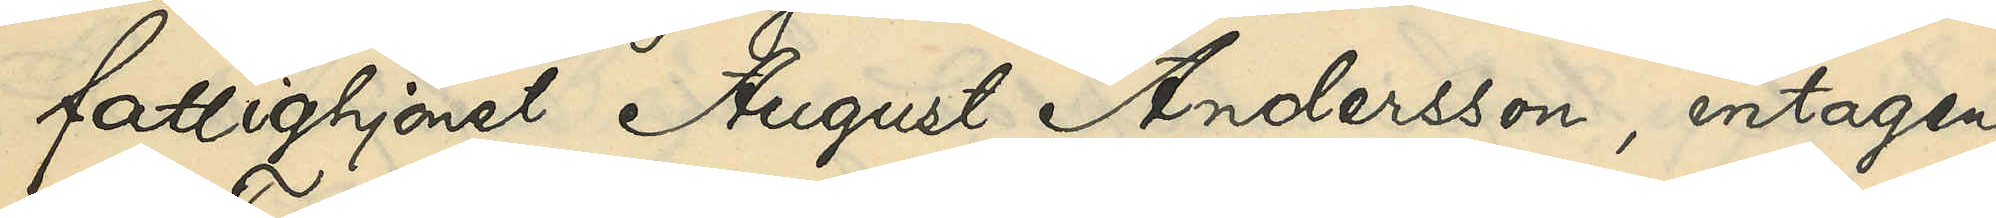fattighjonet August Andersson, intagen
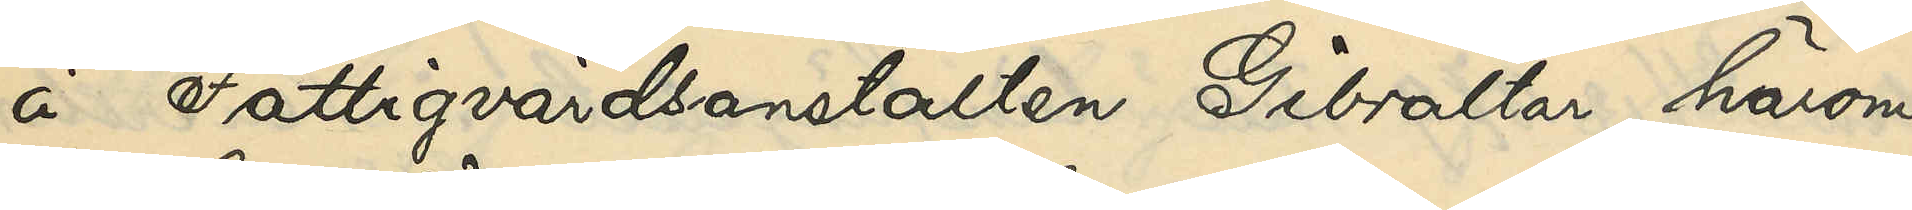å Fattigvårdsanstalten Gibraltar härom
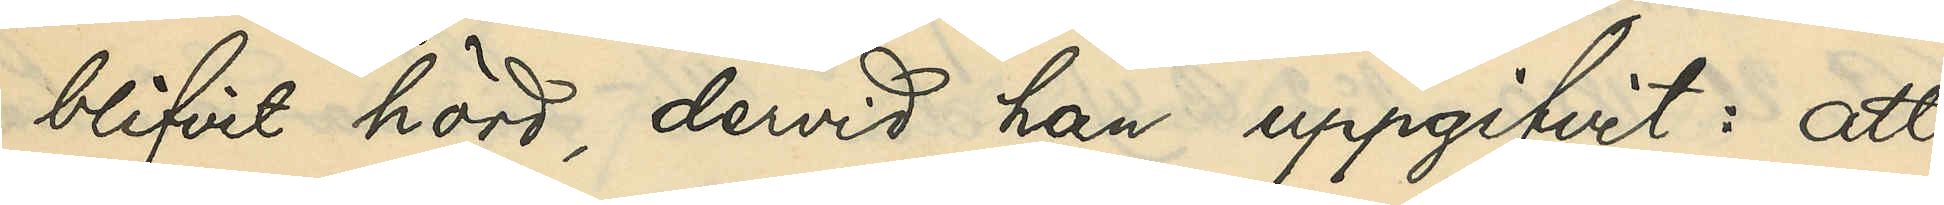blifvit hörd, dervid har uppgifvit: att
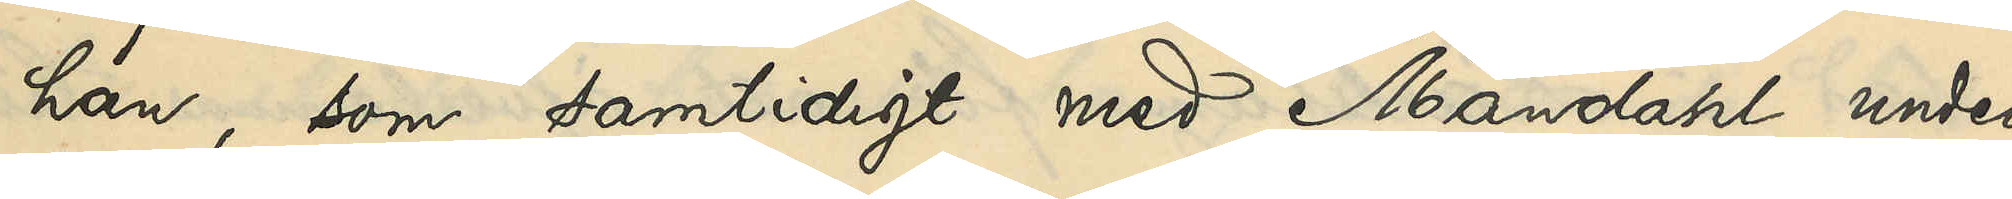han, som samtidigt med Mandahl under
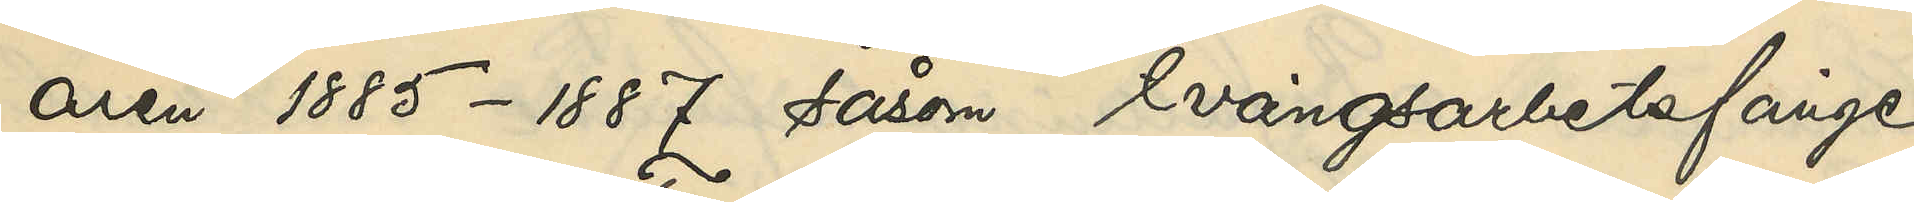åren 1885-1887 såsom tvångsarbetsfånge
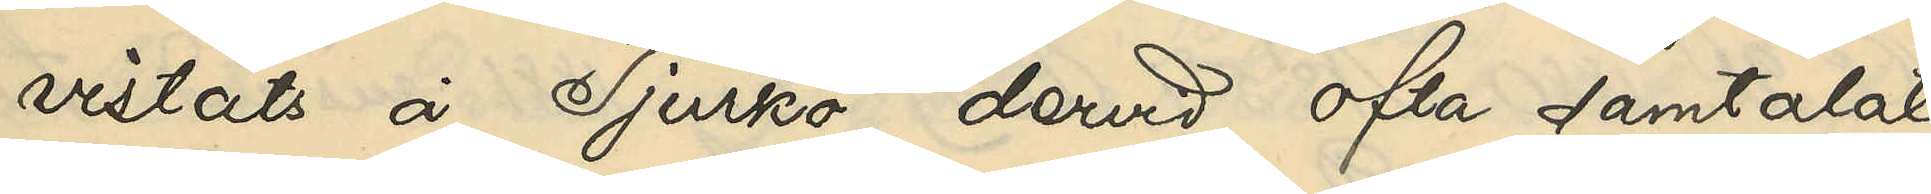vistats å Tjurkö, dervid ofta samtalat
